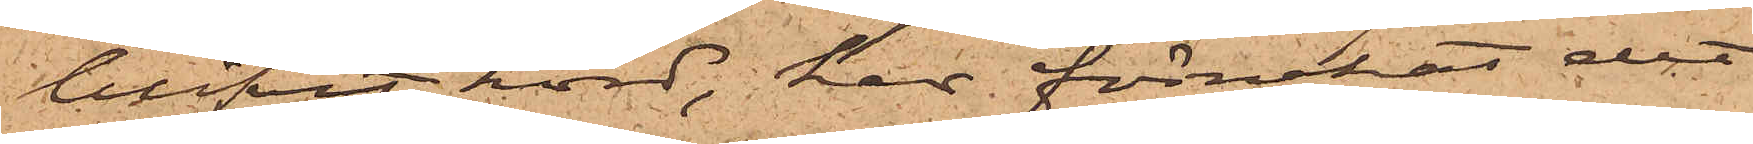blifvit hörd, har förnekat det
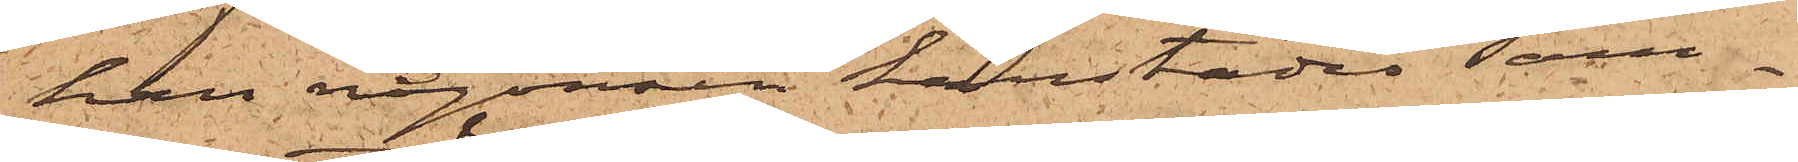han någonsin härstädes sam¬
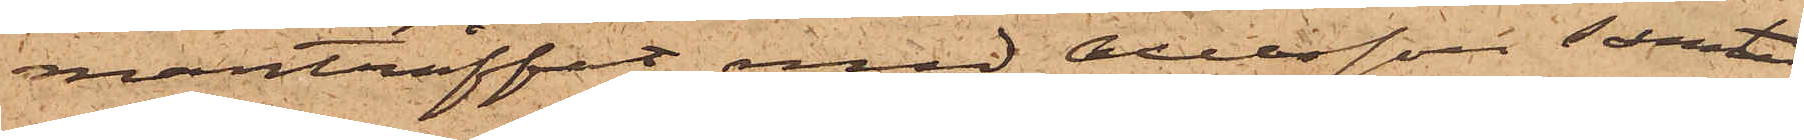manträffat med Axelsson samt
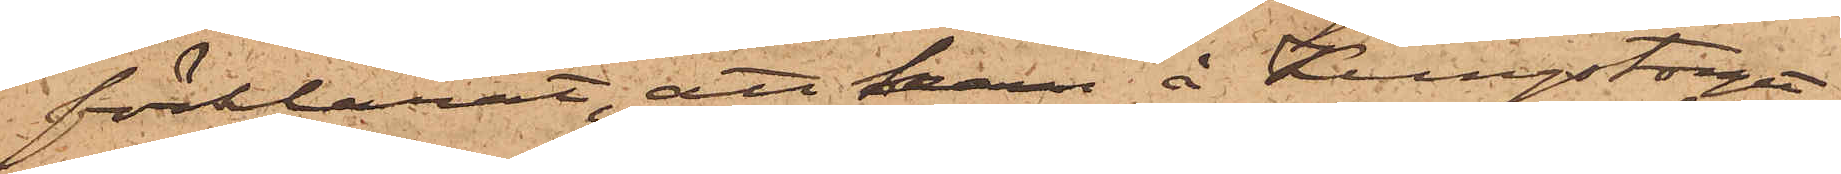förklarat, att han å Kungstorget
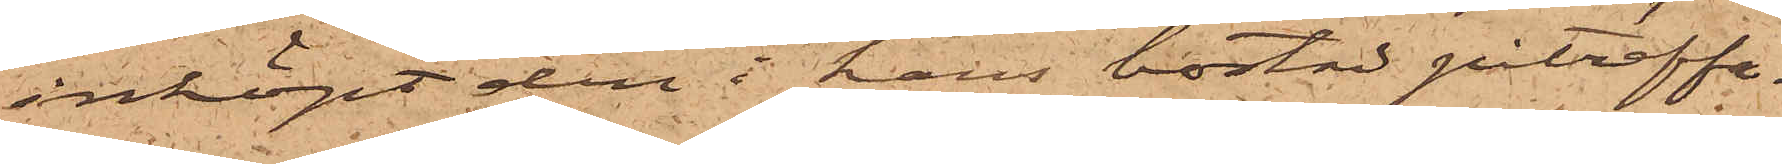inköpt den i hans bostad påträffa¬
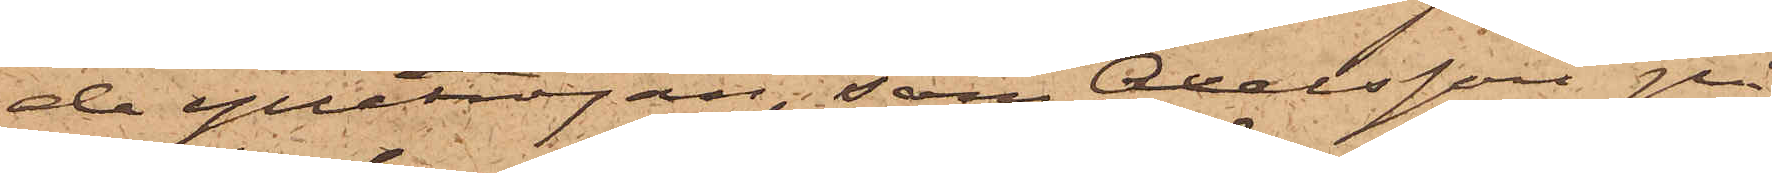de ylletröjan, som Axelsson på¬
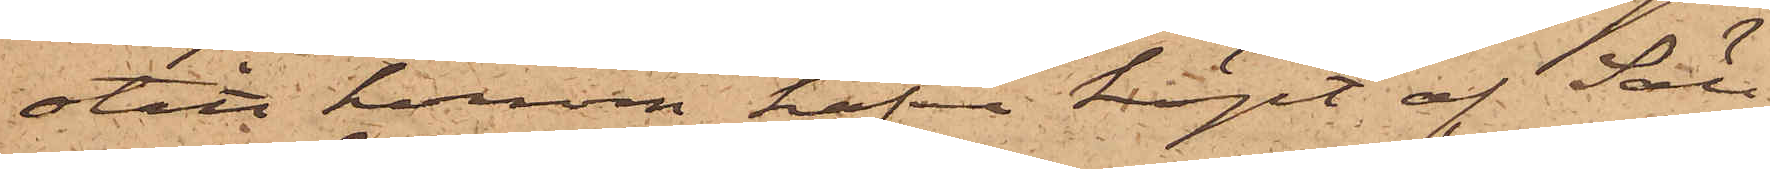stått honom hafva köpt af Säll.
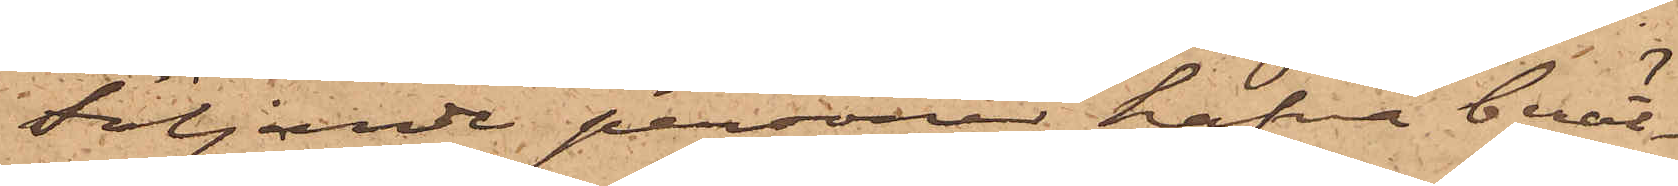Följande personer hafva berät¬
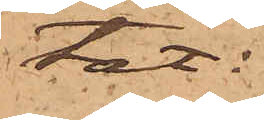tat:
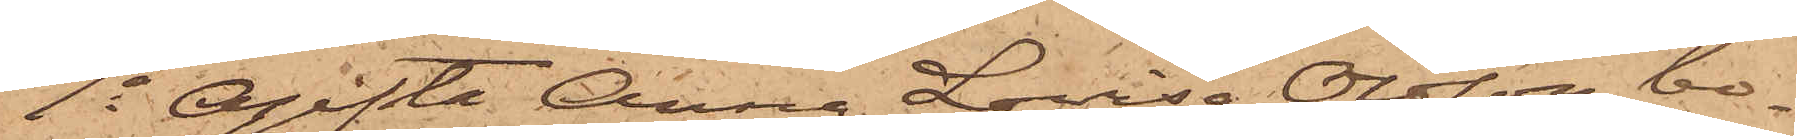1o Ogifta Anna Lovisa Olsson, bo¬
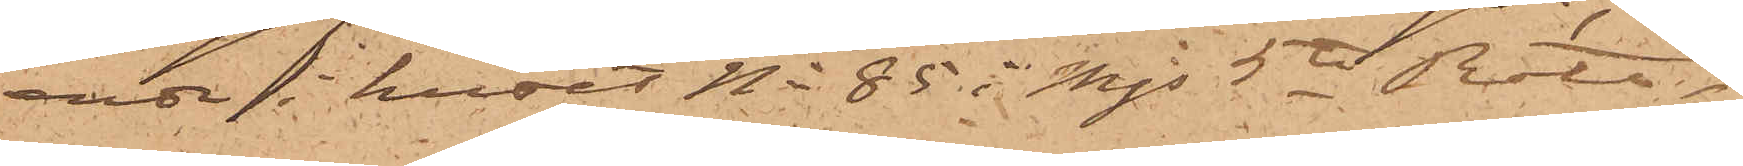ende i huset No 85 i Mjs 5te Rote,
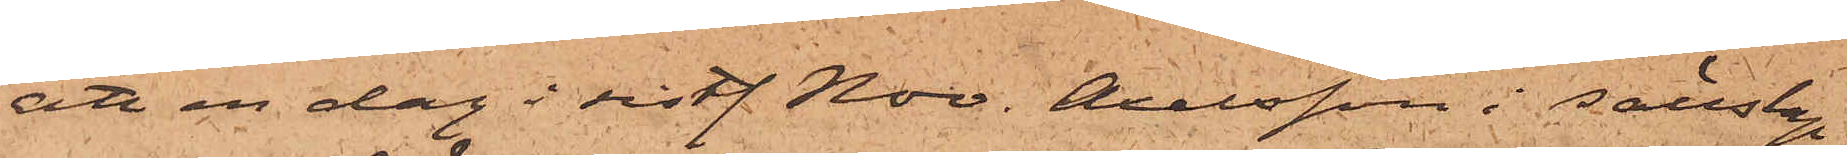att en dag i sistl. Nov. Axelsson i sällskap
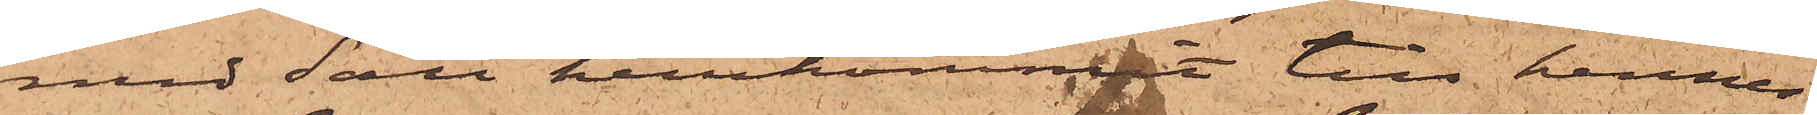med Säll hemkommit till hennes
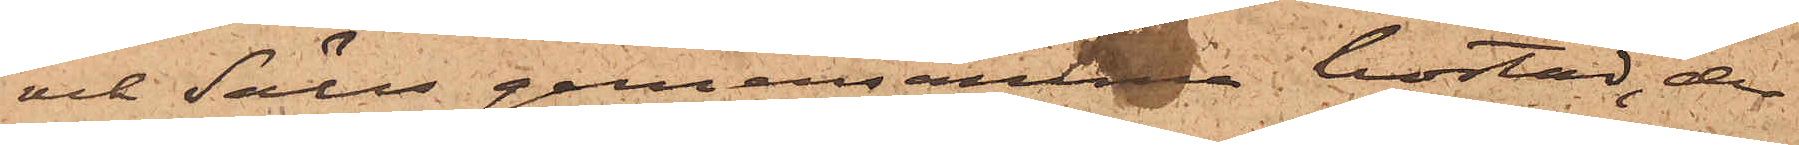och Sälls gemensamma bostad, der
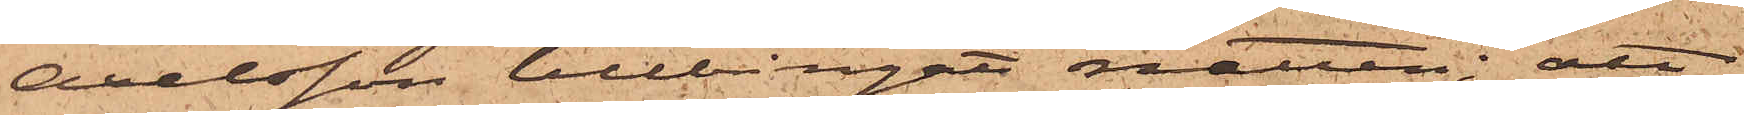Axelsson tillbringat natten; att
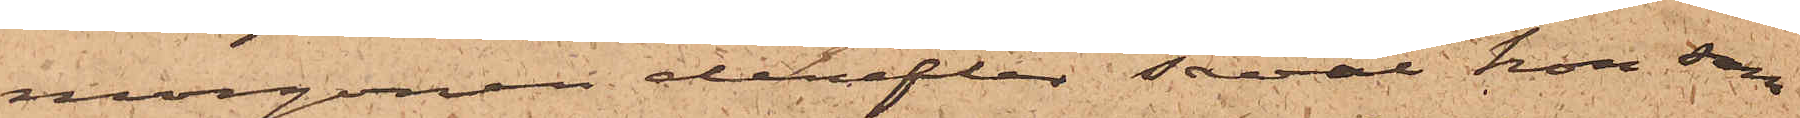morgonen derefter såväl hon som
